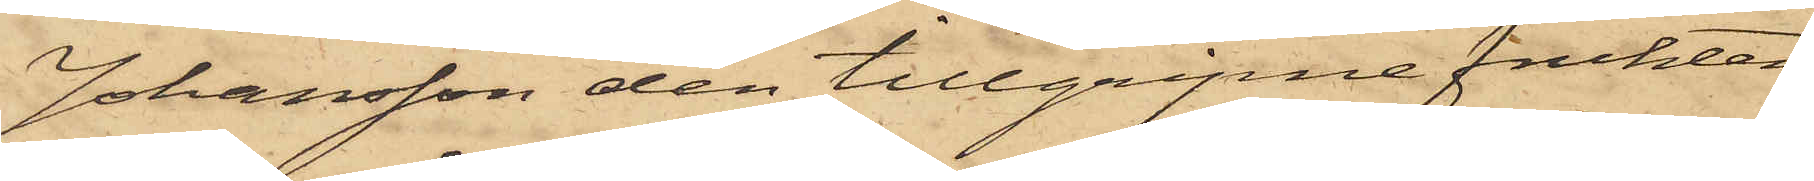Johansson den tillgripne frukten
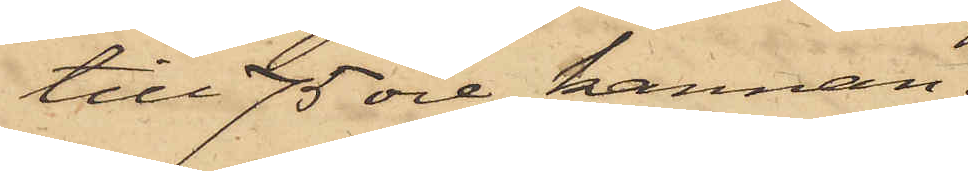till 75 öre kannan.
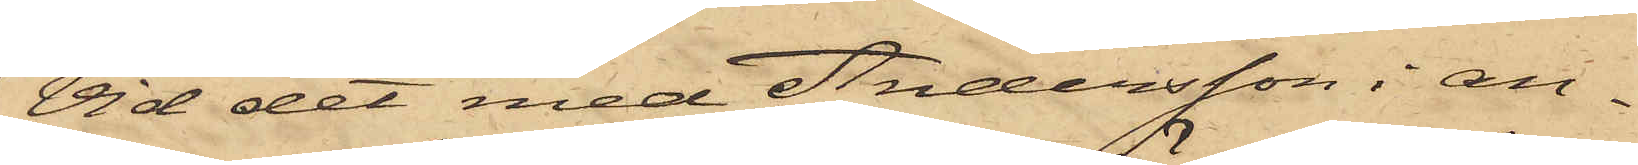Vid det med Andersson i an¬
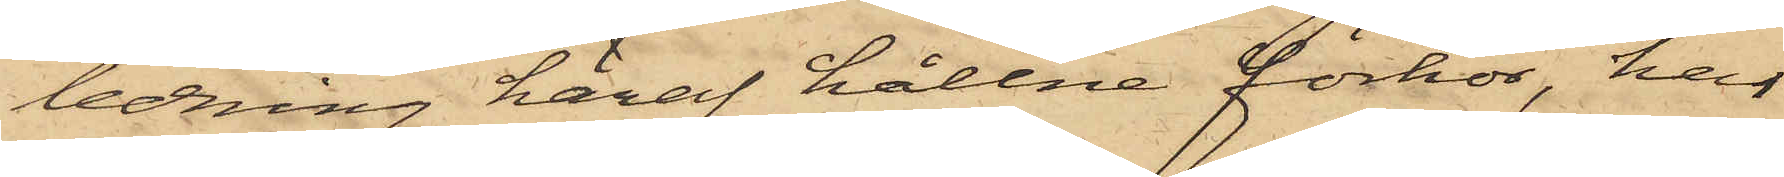ledning häraf hållne förhör, har
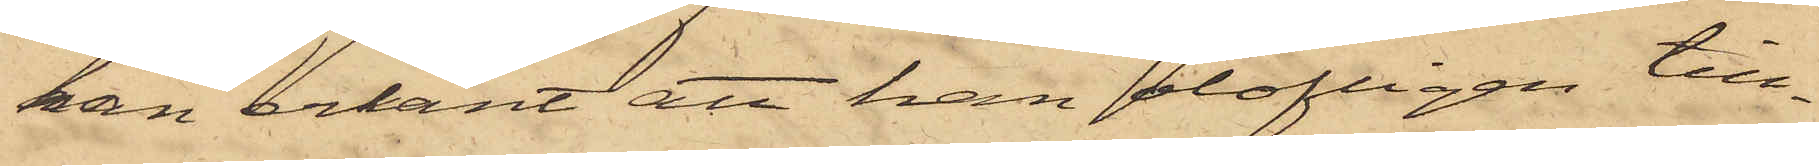han erkänt att han olofligen till¬
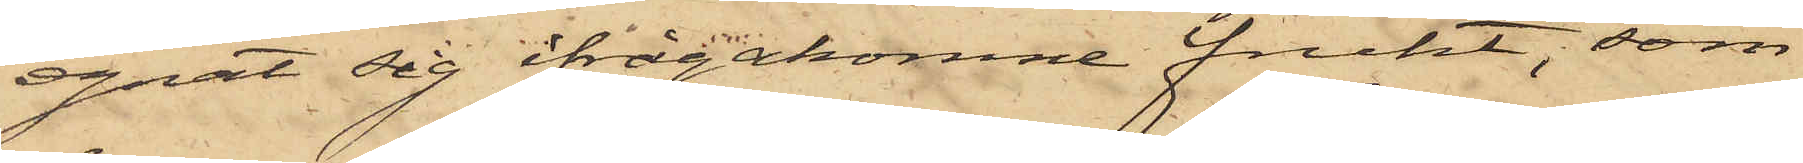egnat sig ifrågakomne frukt, som
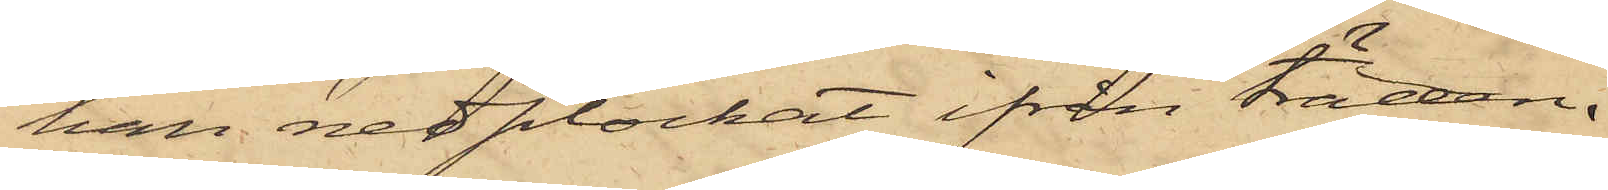han nedplockat ifrån träden.
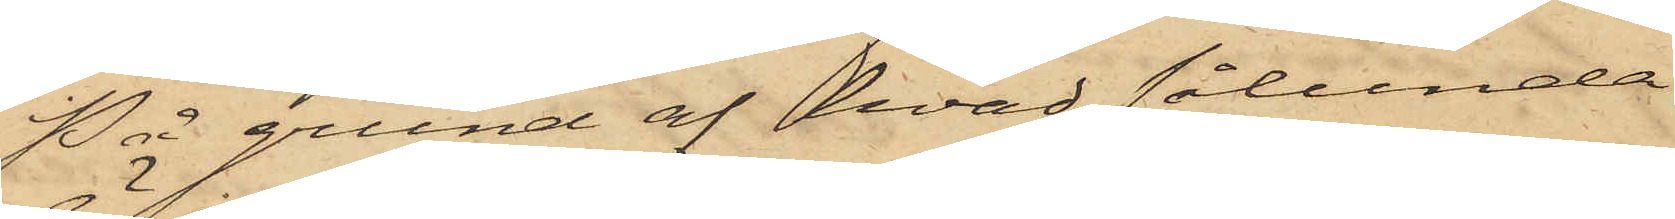På grund af hvad sålunda
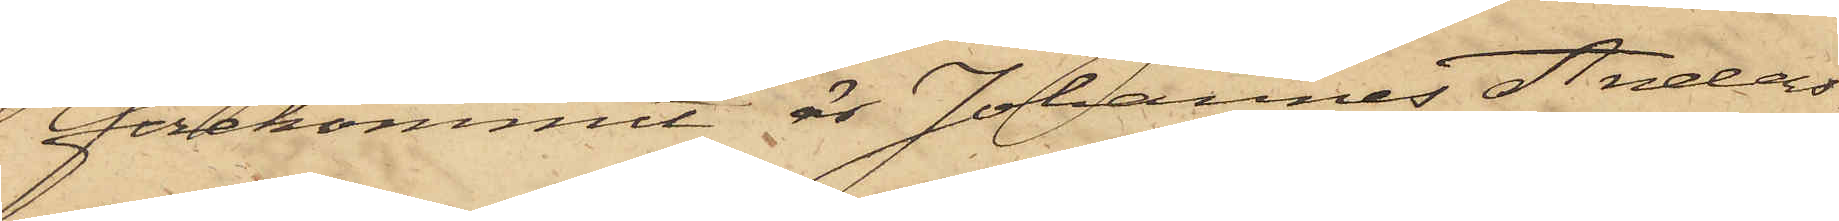förekommit är Johannes Anders¬
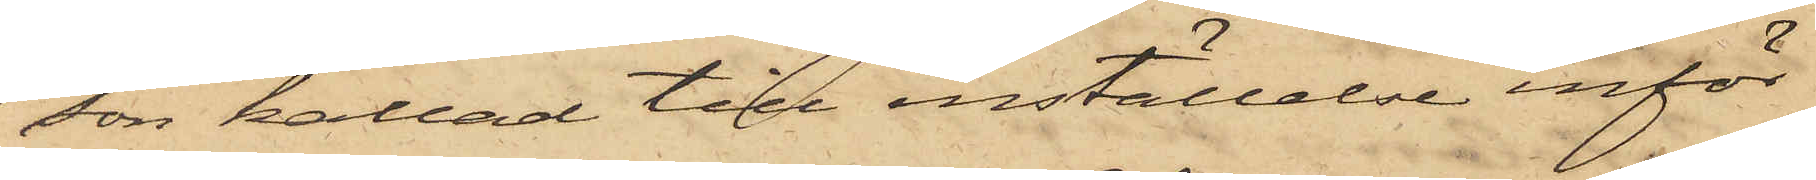son kallad till inställelse inför
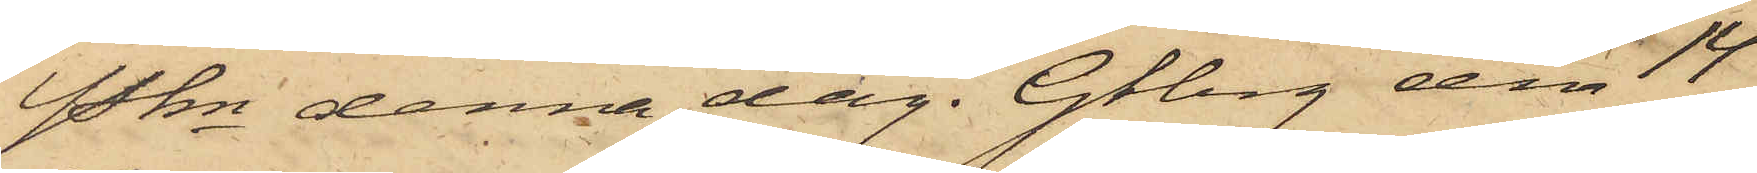Pkn denna dag. Gtbrg den 14
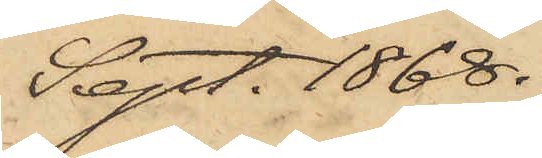Sept. 1868.
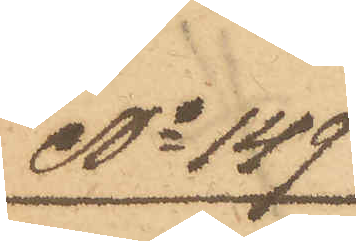No 149
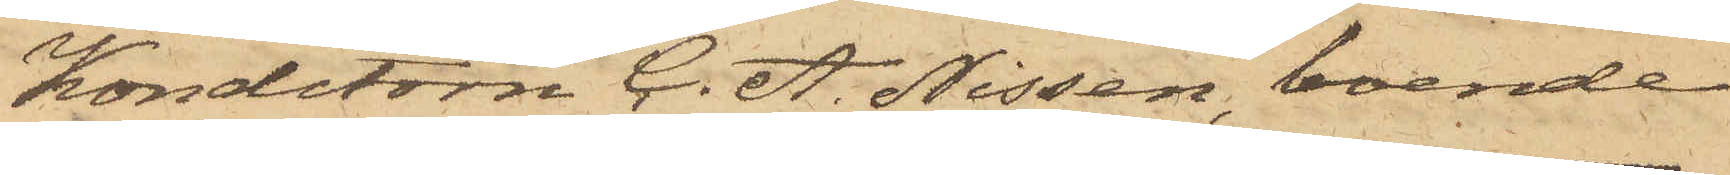Konditorn C. A. Nissen, boende
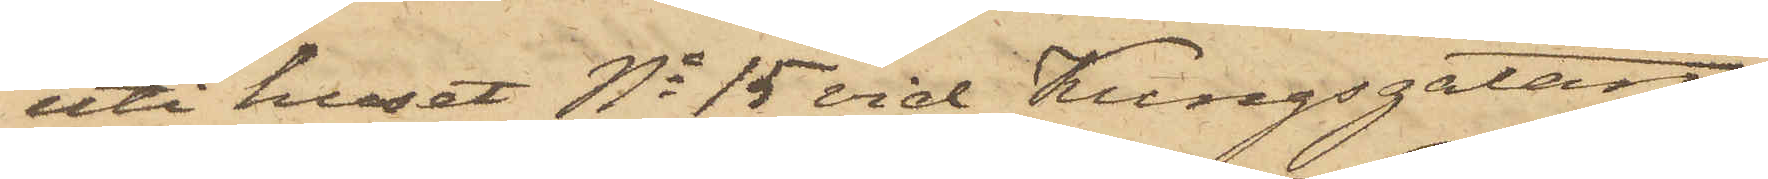uti huset No 15 vid Kungsgatan,
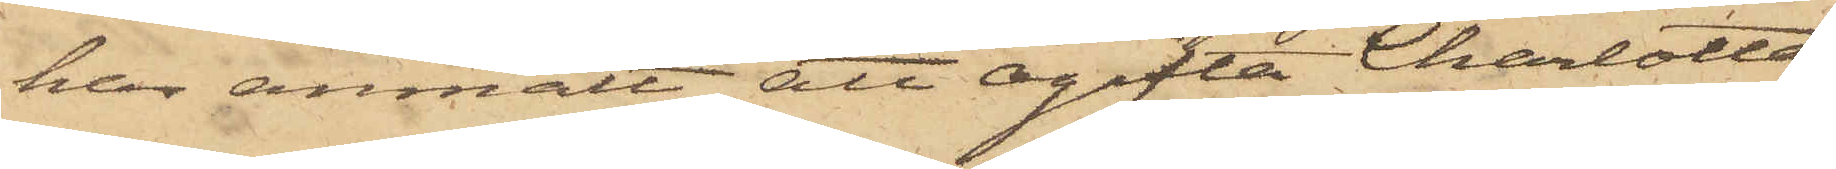har anmält att ogifta Charlotta
